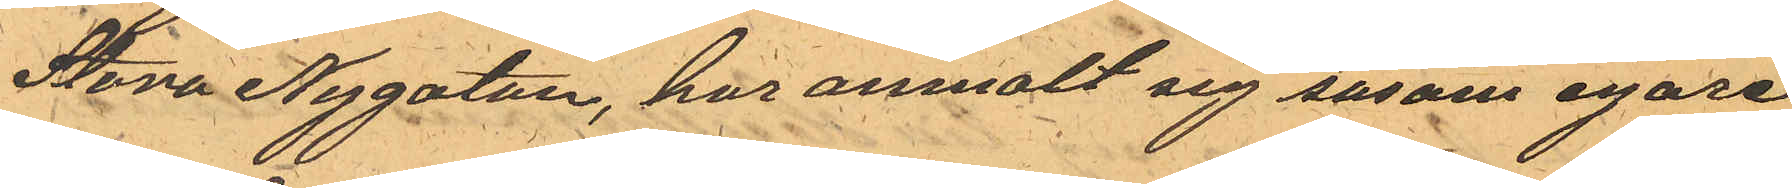Stora Nygatan, har anmalt sig såsom egare
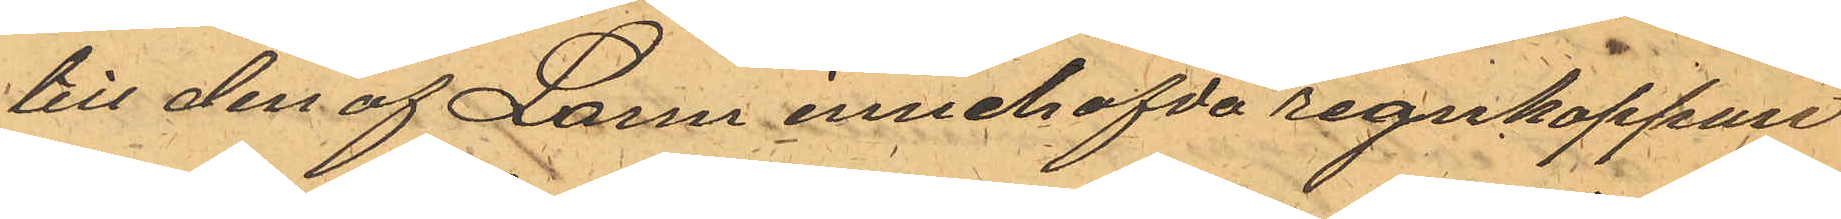till den af Larm innehafda regnkappan
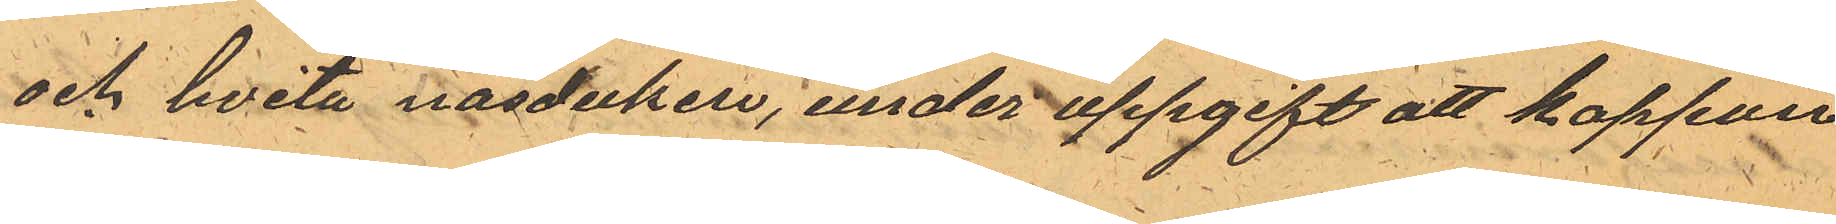och hvita näsduken, under uppgift att kappan
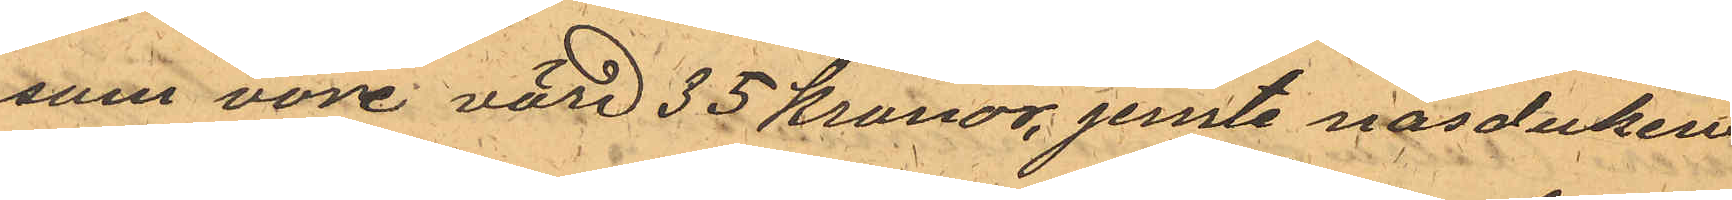som vore värd 35 kronor, jemte näsduken
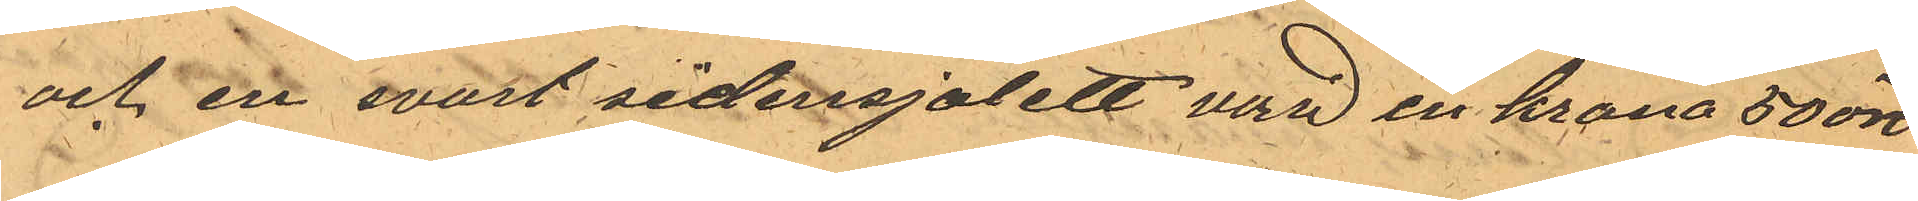och en svart sidensjalett värd en krona 50 öre
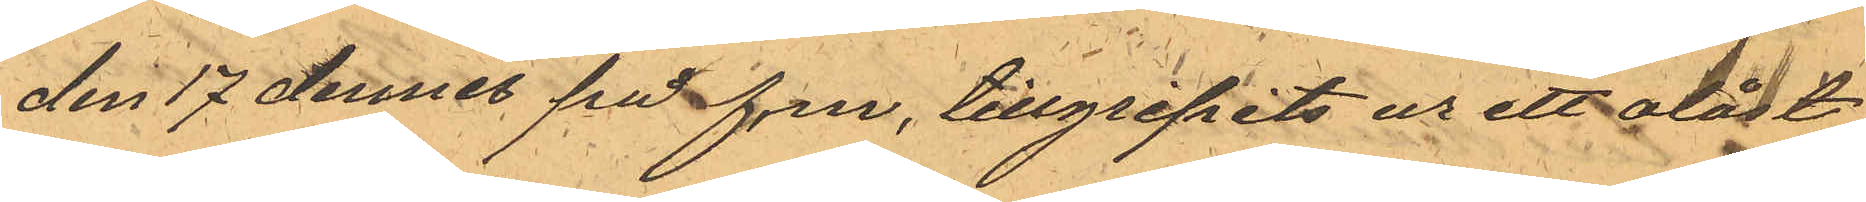den 17 dennes på f.m. tillgripits ur ett olåst
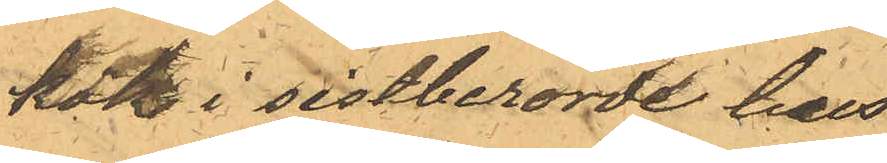kök i sistberorde hus
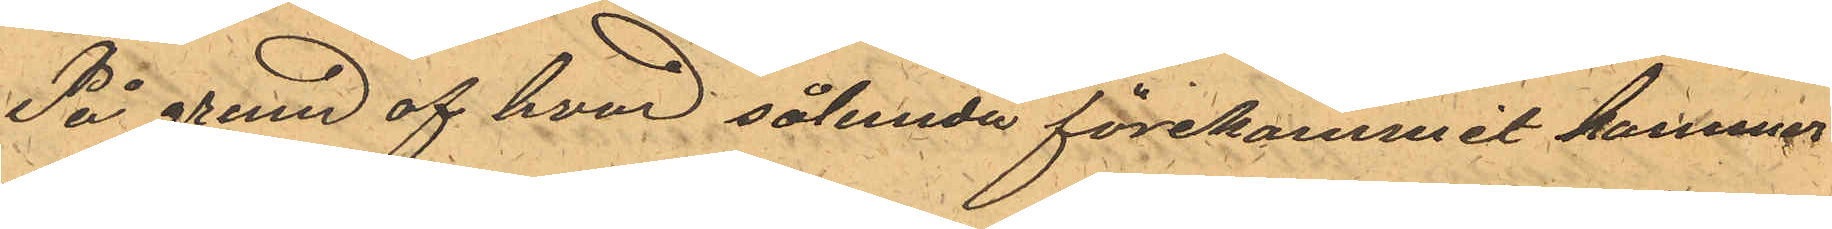På grund af hvad sålunda förekommit kommer
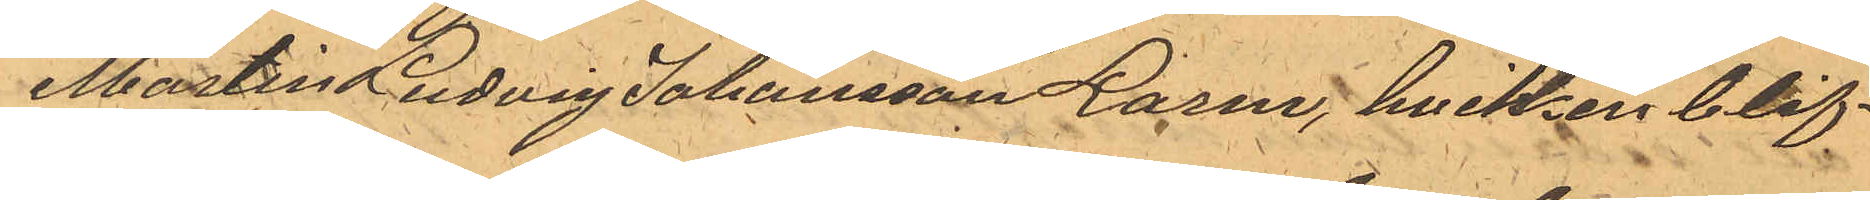Martin Ludvig Johansson Larm, hvilken blif¬
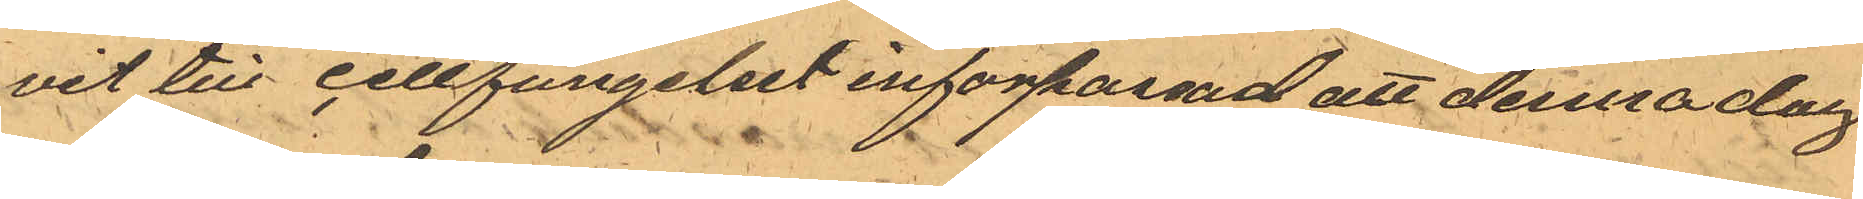vit till cellfängelset inforpassad att denna dag
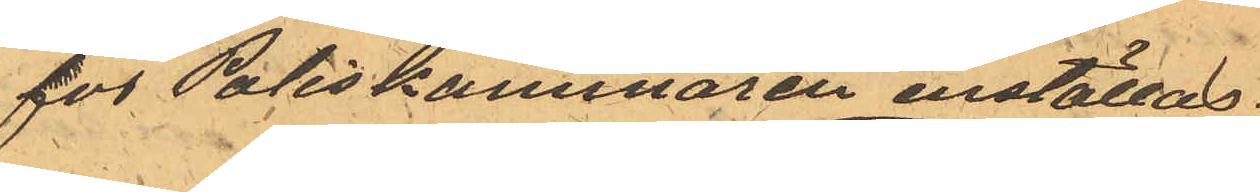för Poliskammaren inställas.
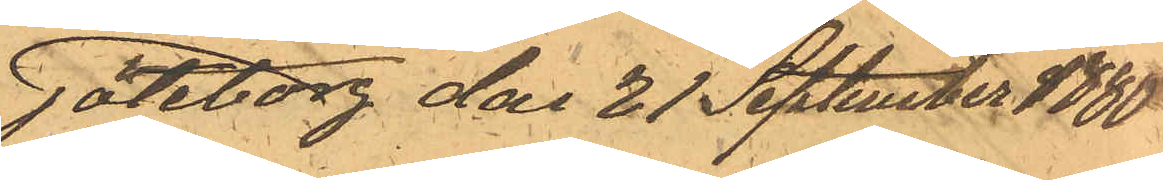Göteborg den 21 September 1880
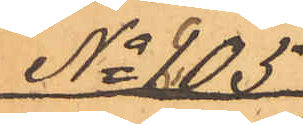No 205
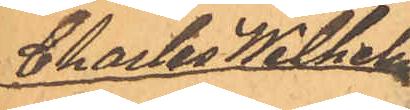Charles Wilhelm
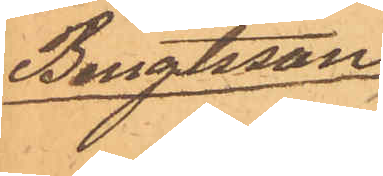Bengtsson
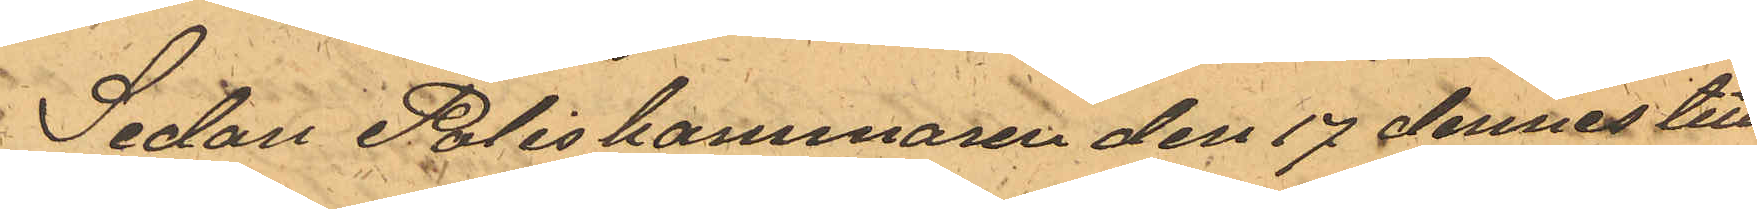Sedan Poliskammaren den 17 dennes till
